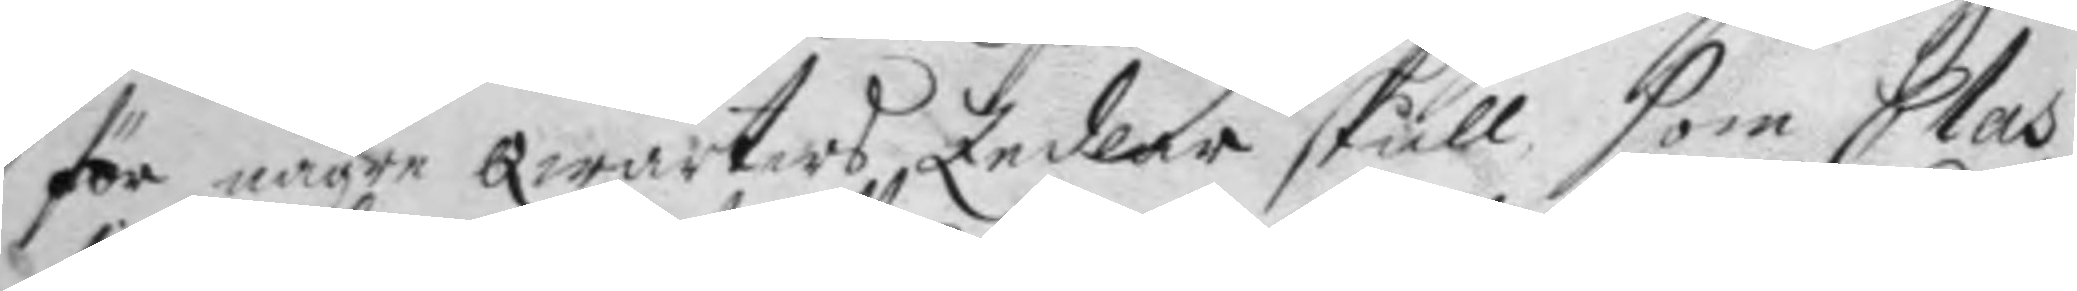för någre Qwarters Zedlar skull som Clas
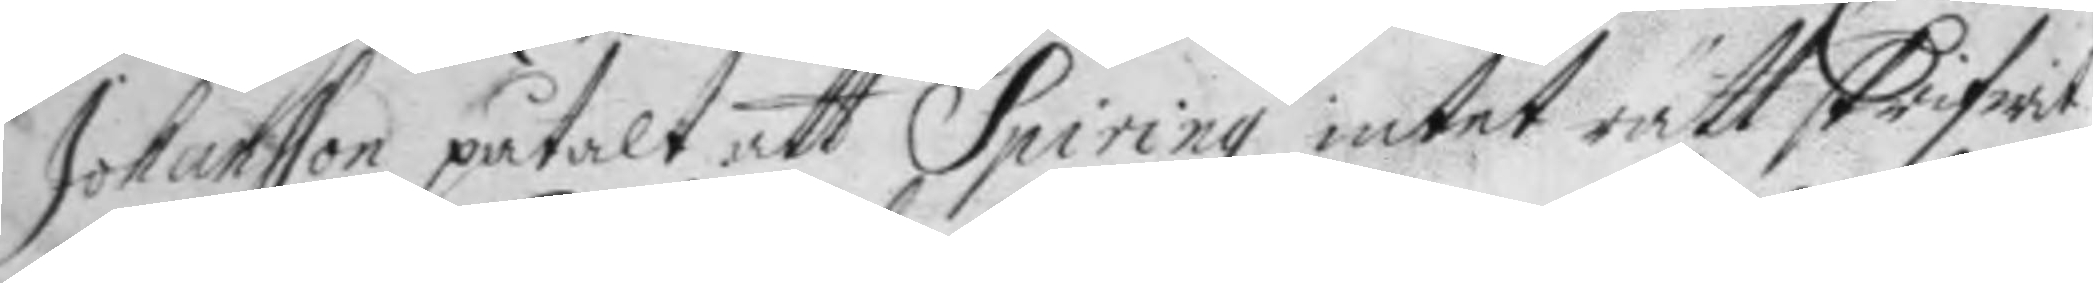Johansson påtalt att Spiring intet rätt skrifwit
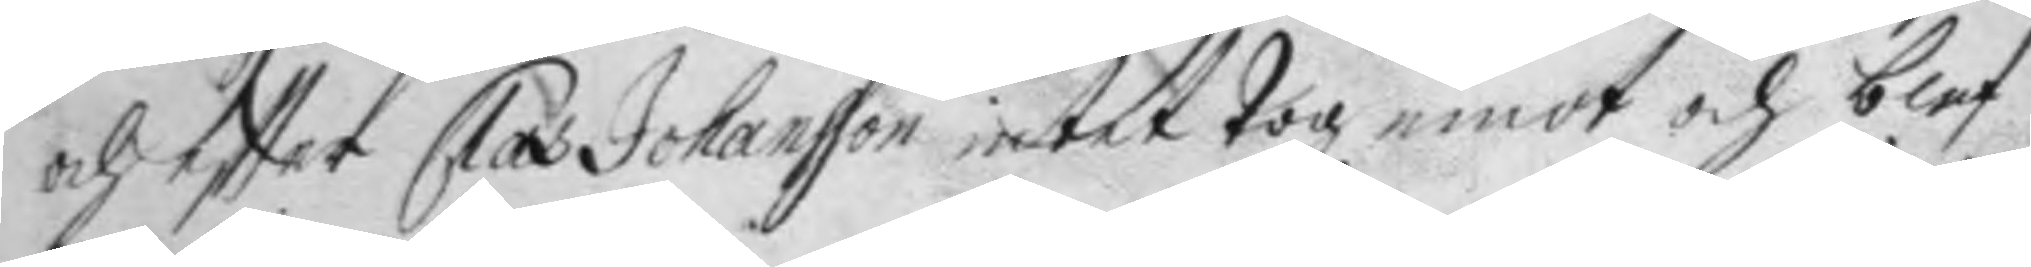och eftter Clas Johansson intet Tog emot och blef
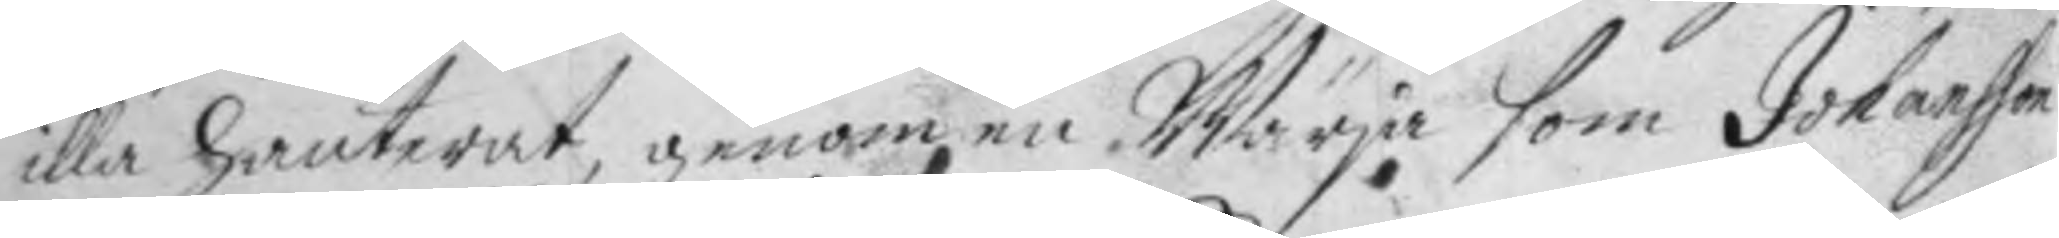illa hanterat, genom en Wärja som Johansson
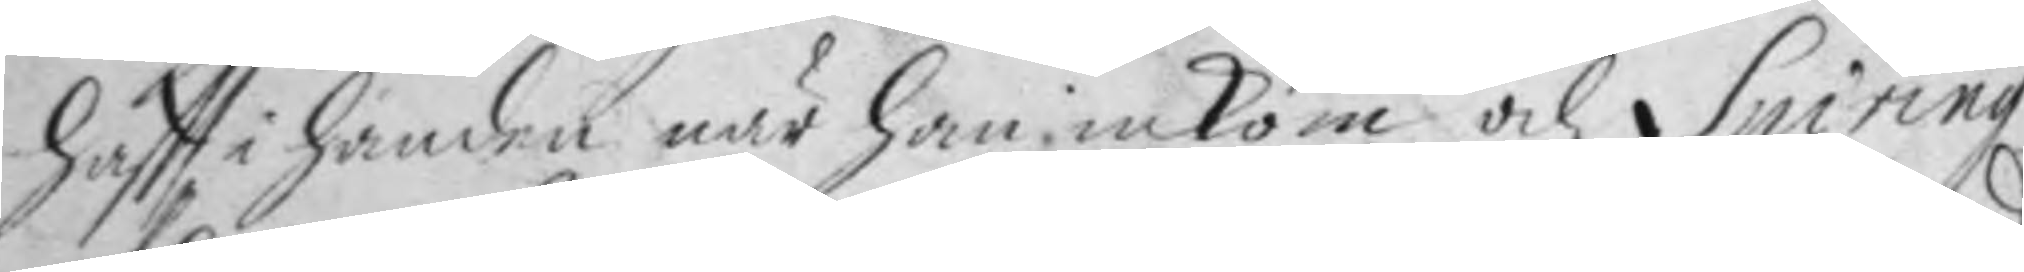haftt i handen när han inkom och Spiring
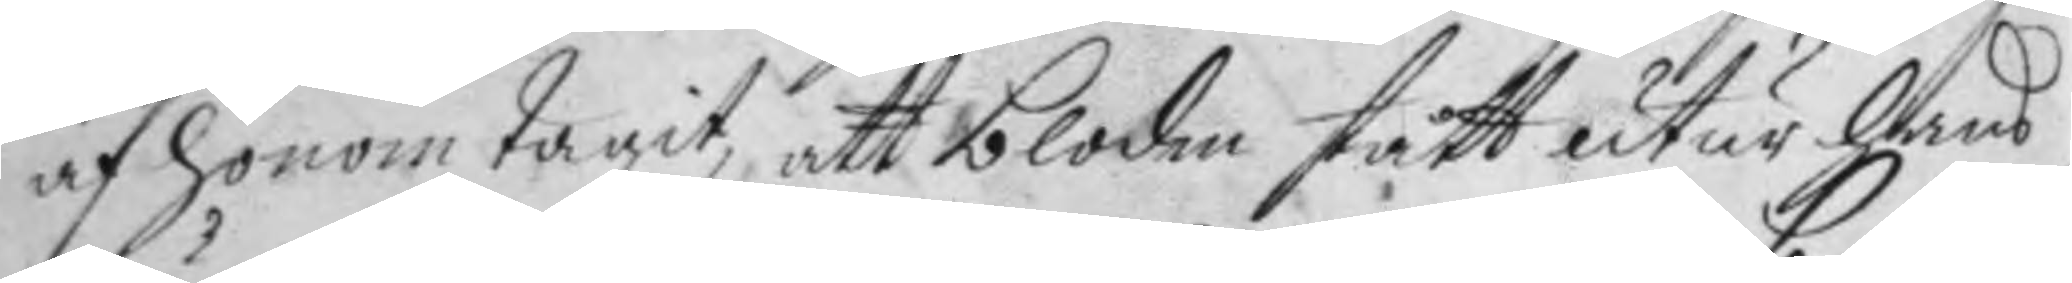af honom Tagit, att bloden stått utur hans
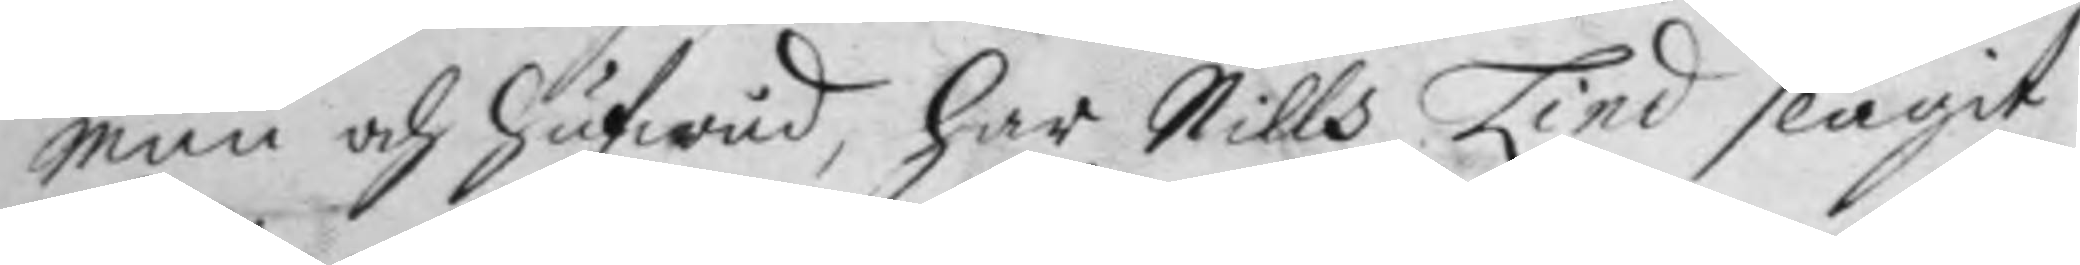mun och hufwud, har Nills Lind slagit
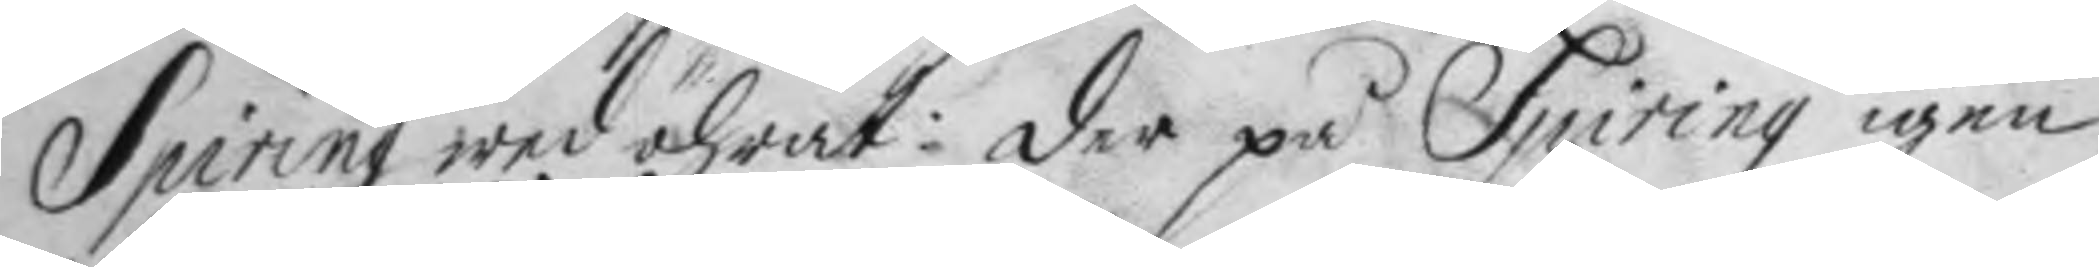Spiring wed öhrat: der på Spiring igen
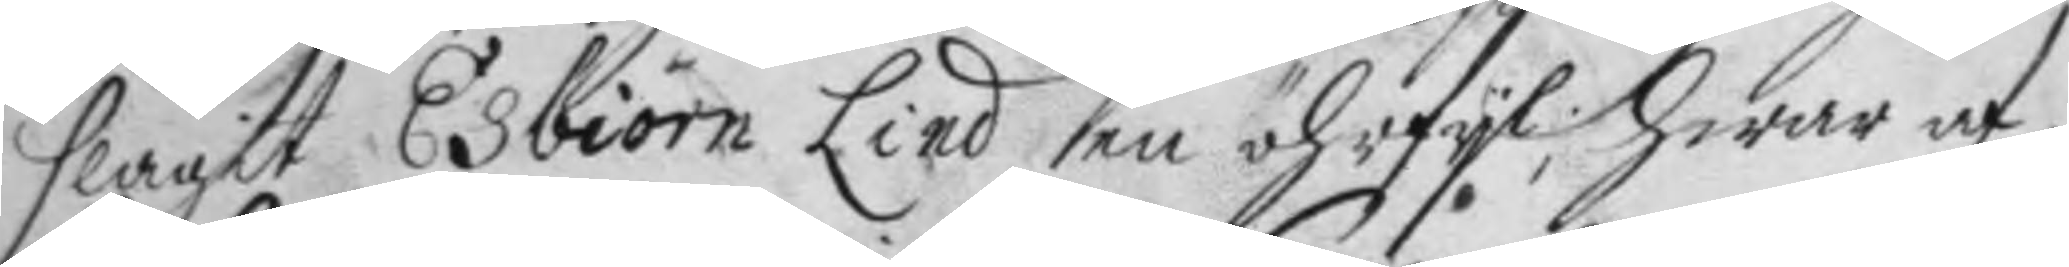slagit Esbiörn Lind en öhrfyl; hwar af
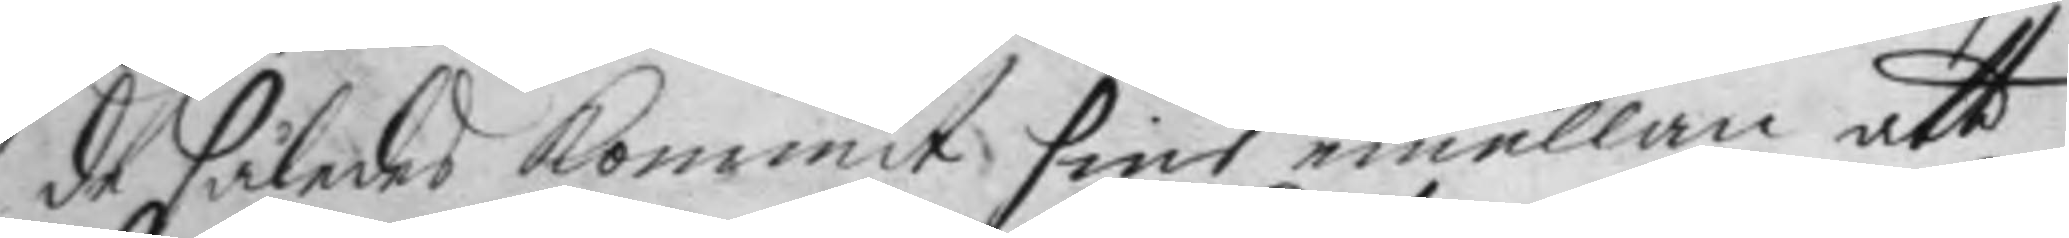de således kommit sins emellan att
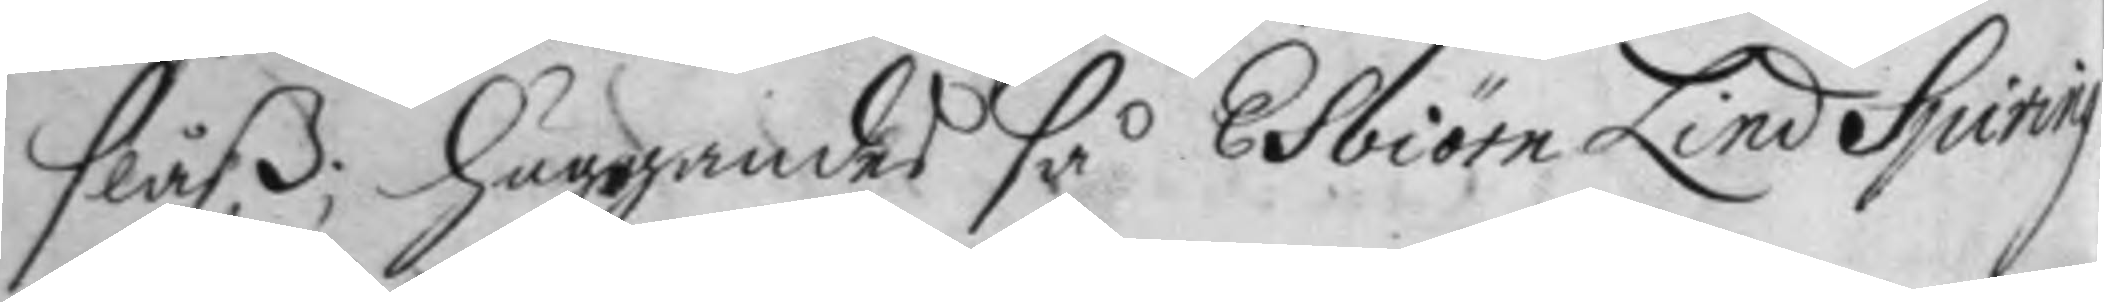slåß; huggandes så Esbiörn Lind Spiring
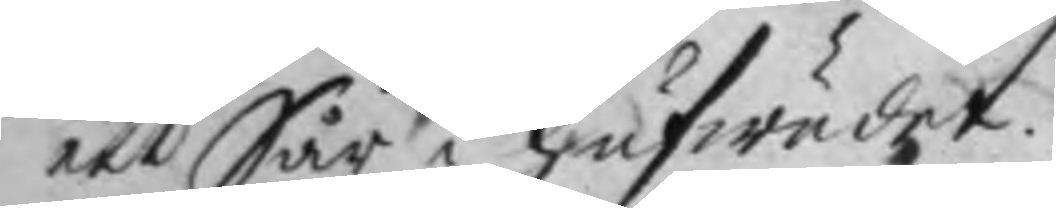ett Sår i hufwudet.
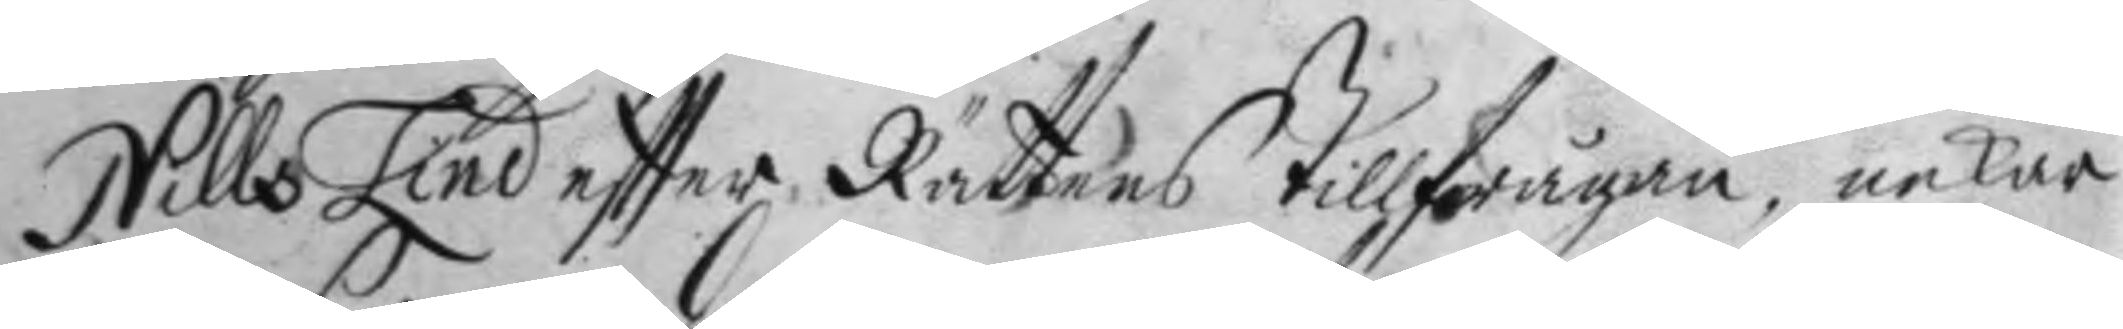Nills Lind eftter Rättens tillfrågan, nekar
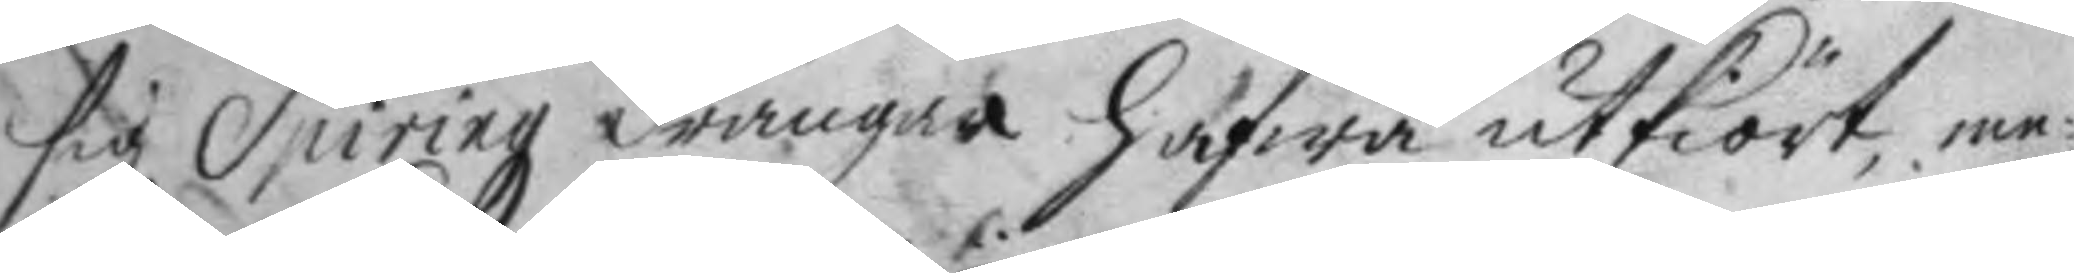sig Spiringz drängar hafwa utkiört, eme¬
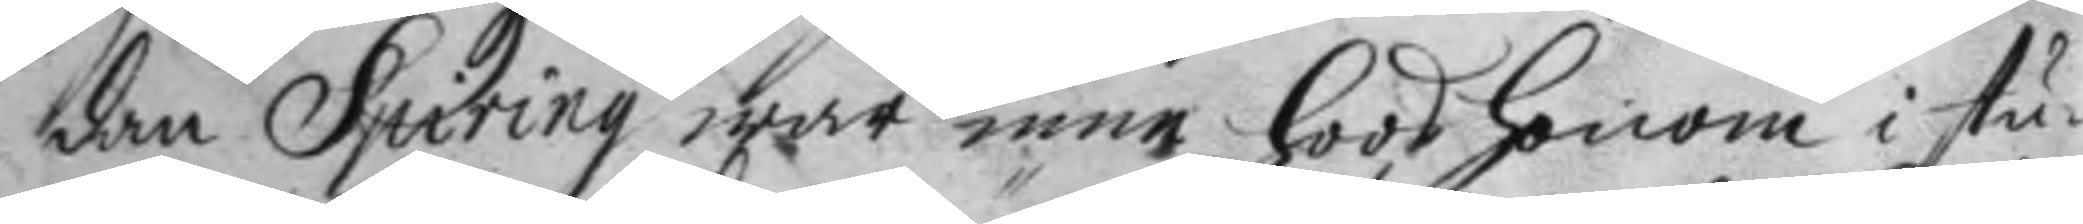dan Spiring war inne hoos honom i stu¬
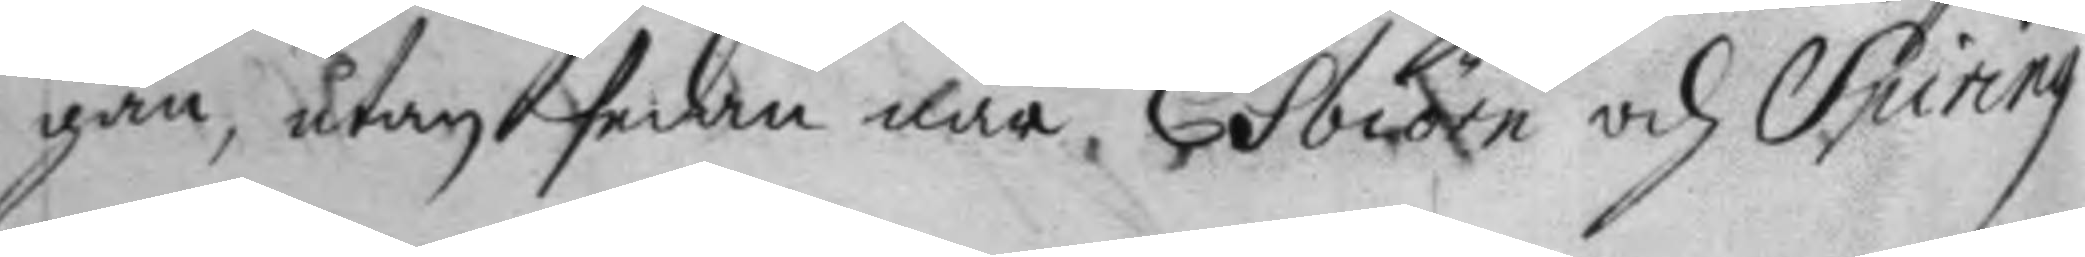gan, utan sedan där Esbiörn och Spiring
